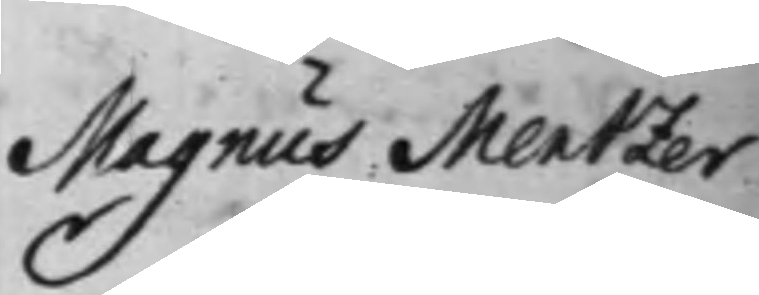Magnus Mentzer
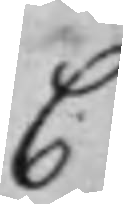C
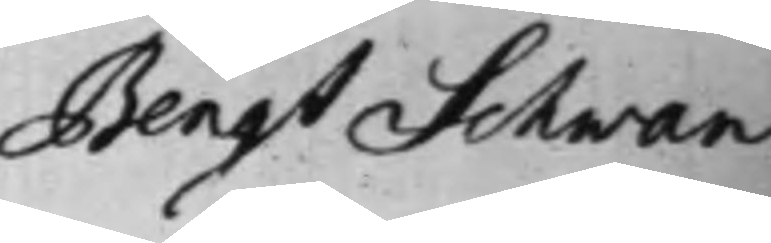Bengt Schwan
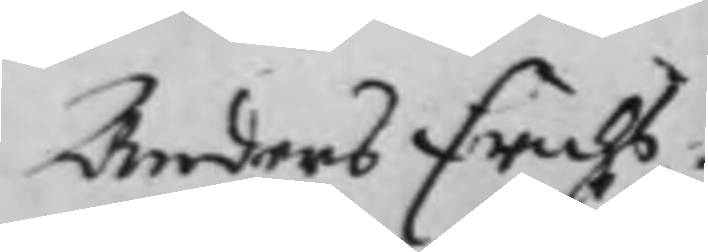Anders Erichs¬
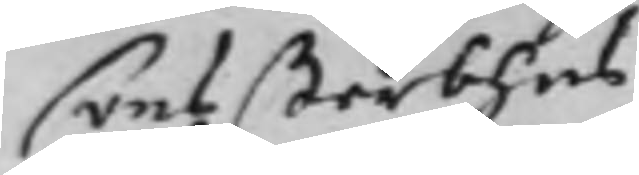sons sterbhus
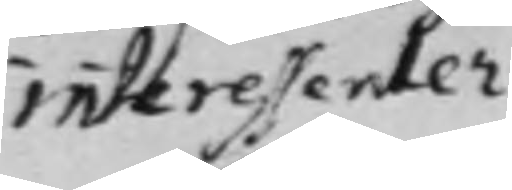interessenter
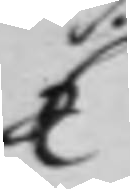C
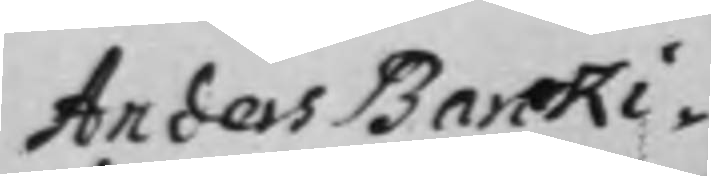Anders Barcki¬
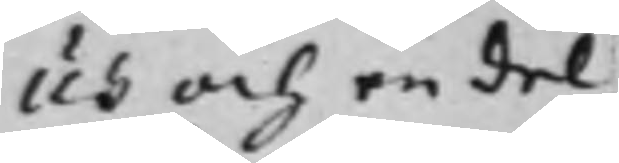us och en del
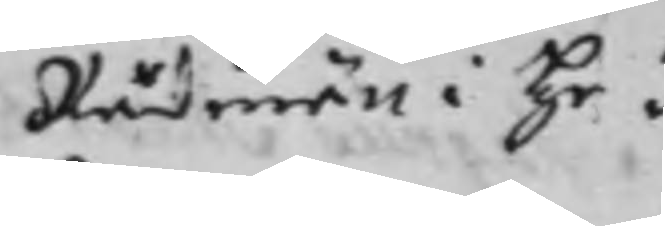Rådmän i He¬
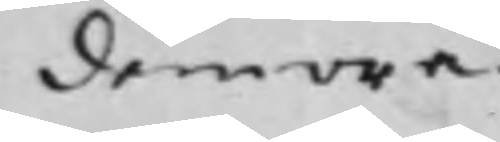demora.
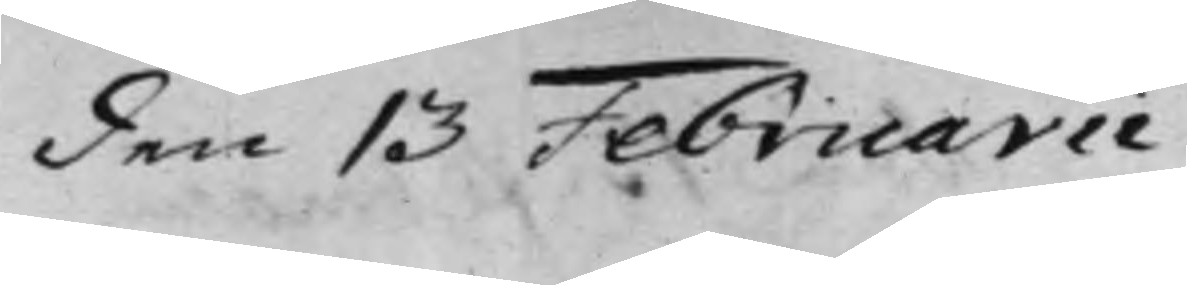den 13 Februarii
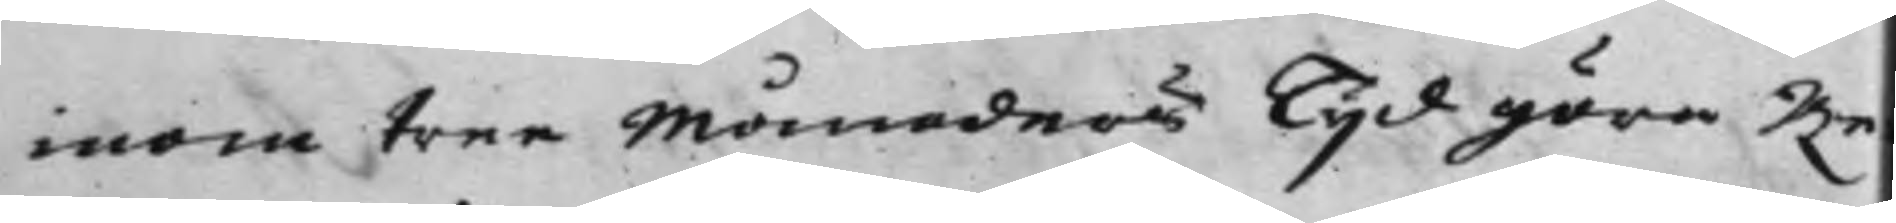inom tree Månaders Tijd göra Re¬
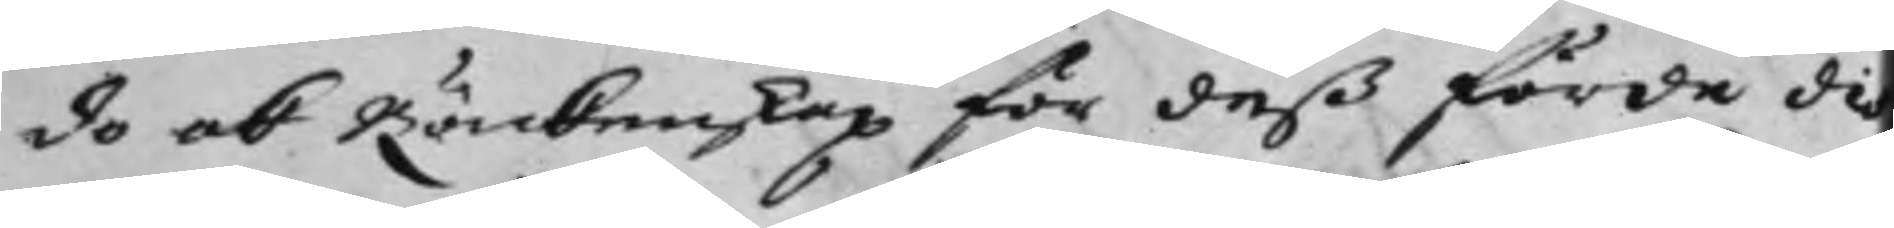do och Räckenskap för deß förde de¬
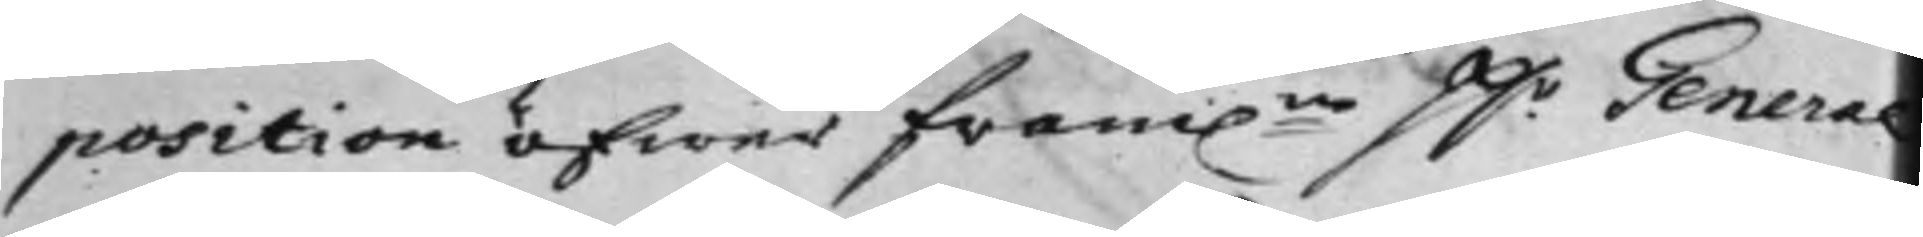position öfwer fram:ne H.r General
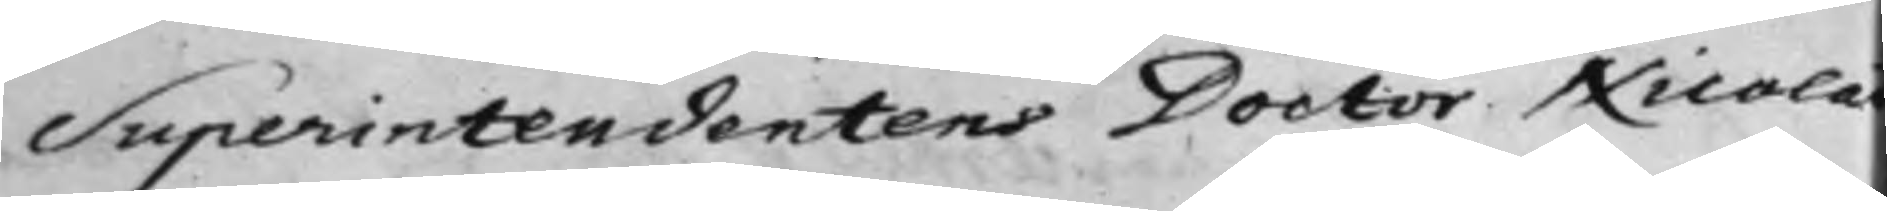Superintendentens Doctor Nicolai
